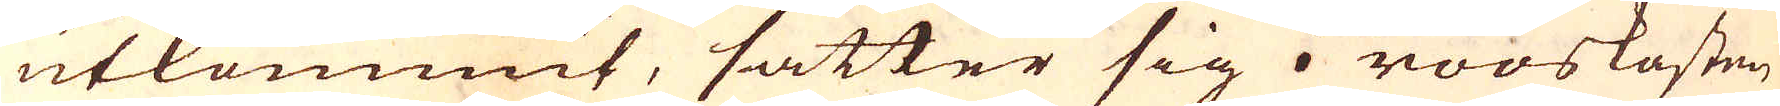utkommit, sätter sig i rööskasten
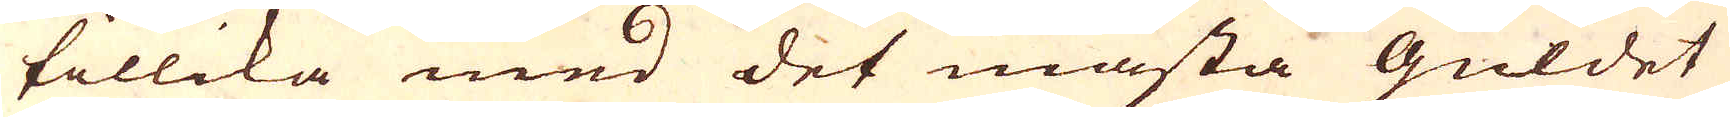tillika med det mästa Guldet
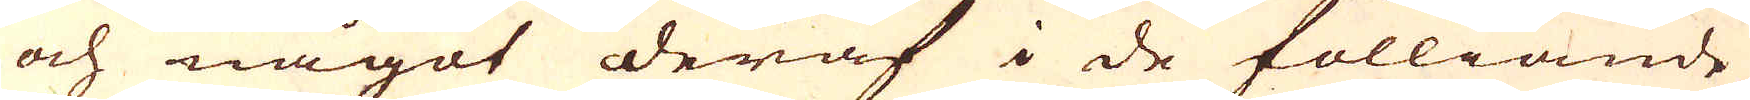och något deraf i de fölliande
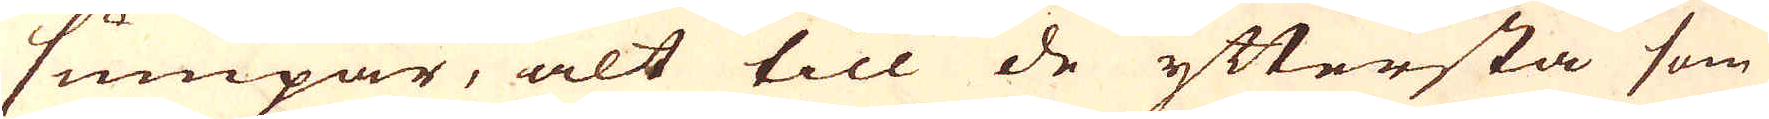sumpar, alt till de yttersta som
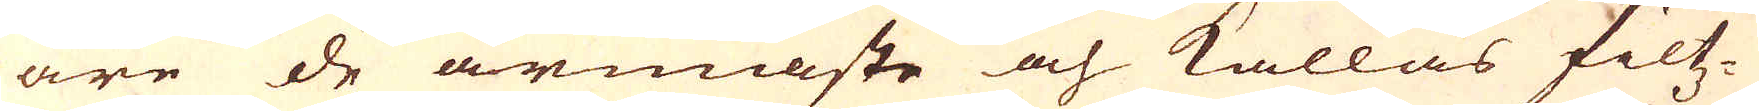äre de armaste och kallas filtz-
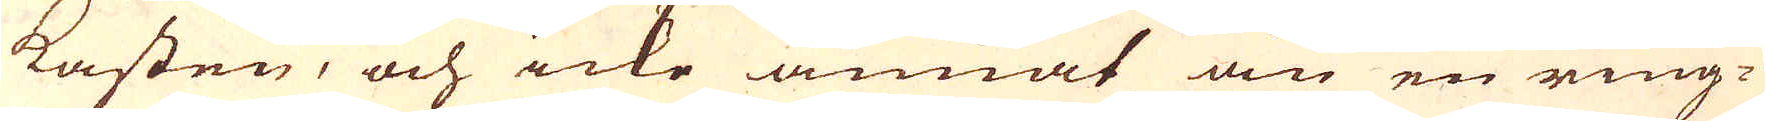kasten, och icke annat än en ring-
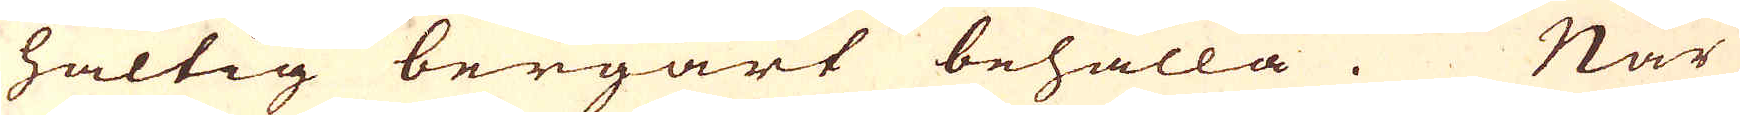haltig bergart behålla. När
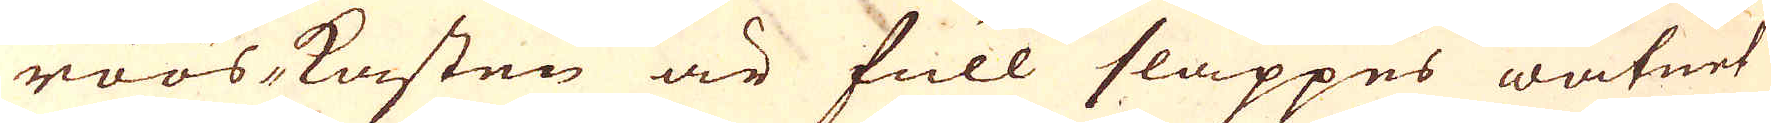röös-kasten är full släppes watnet
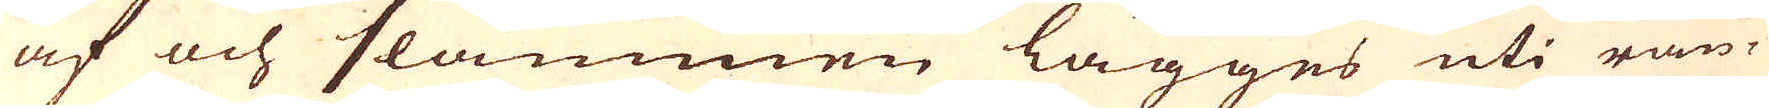af och slammen lägges uti rän-
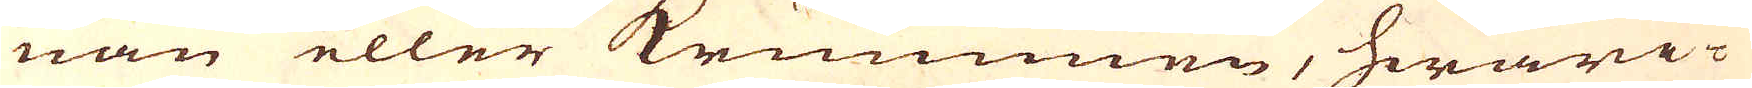nan eller krummen, hwari-
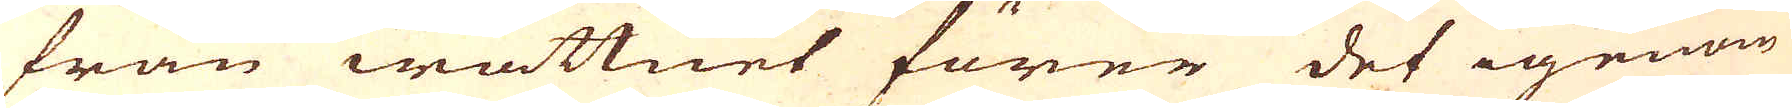från wattnet förer det igenom
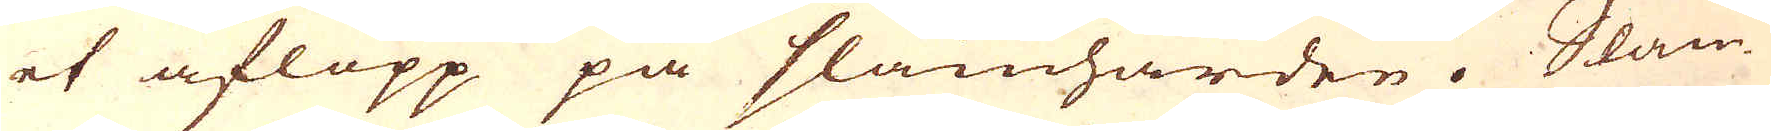et aflopp på slamhärden. Slam-
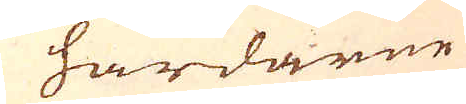härdarne
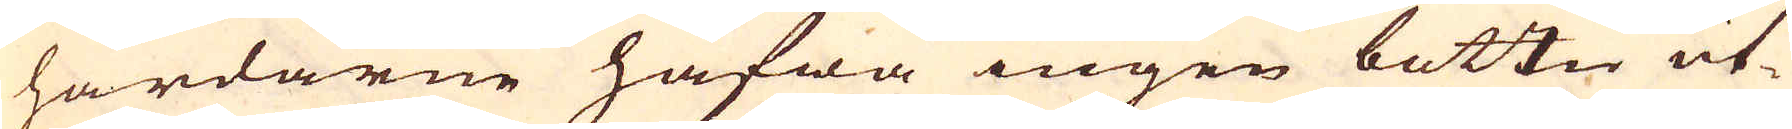härdarne hafwa ingen bottn ut-
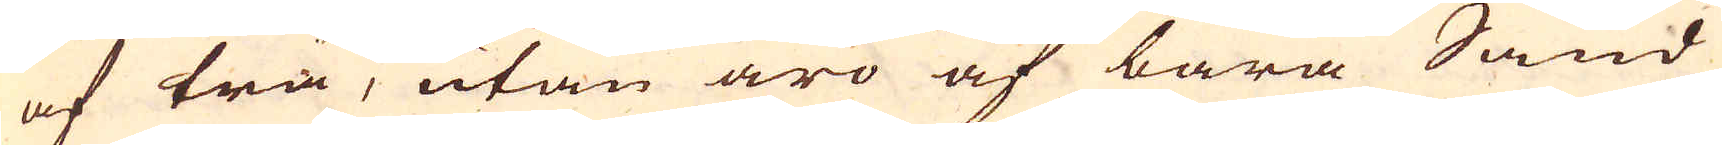af trä, utan äro af bara Sand
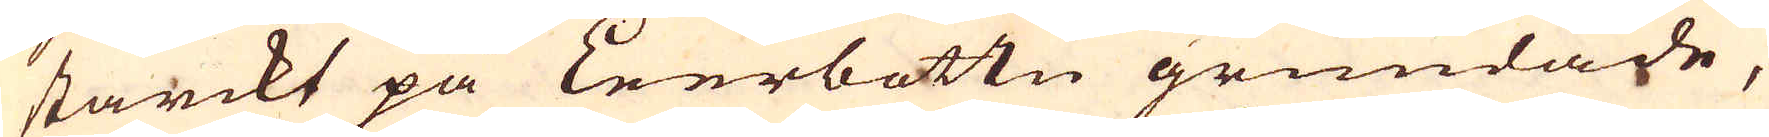starckt på Leerbottn grundade,
